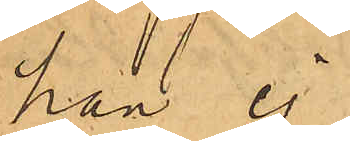han ej
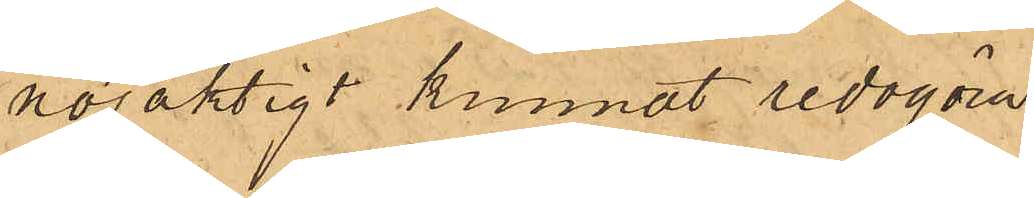nöjaktigt kunnat redogöra.
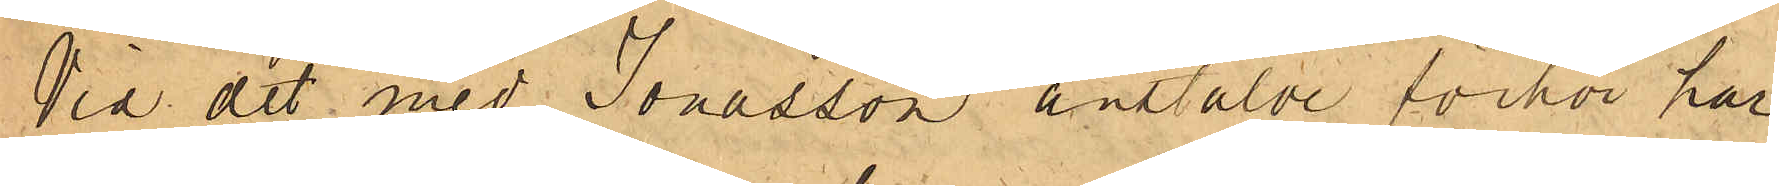Vid det med Jonasson anstälde förhör har
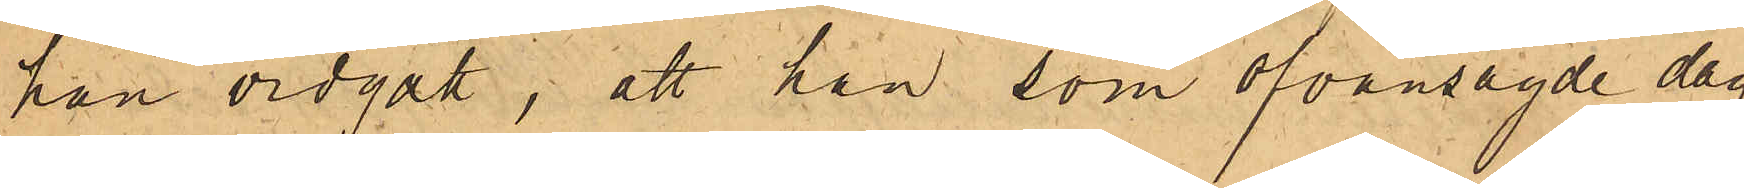han vidgått, att han som ofvansagde dag
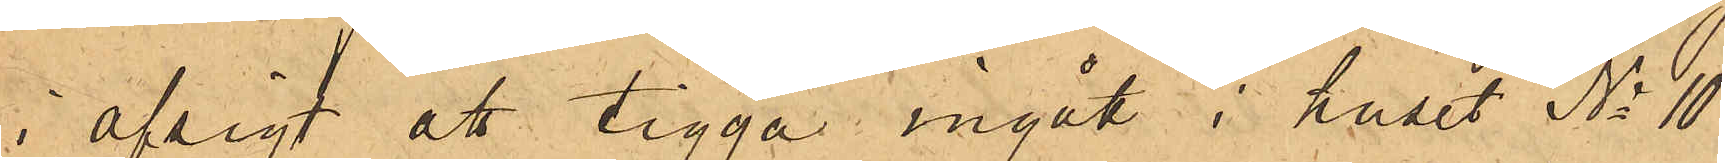i afsigt att tigga ingått i huset No 10
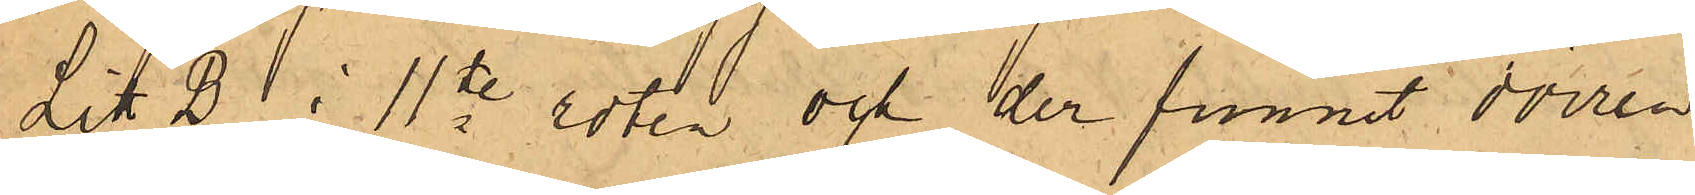Litt. B i 11te roten och der funnit dörren
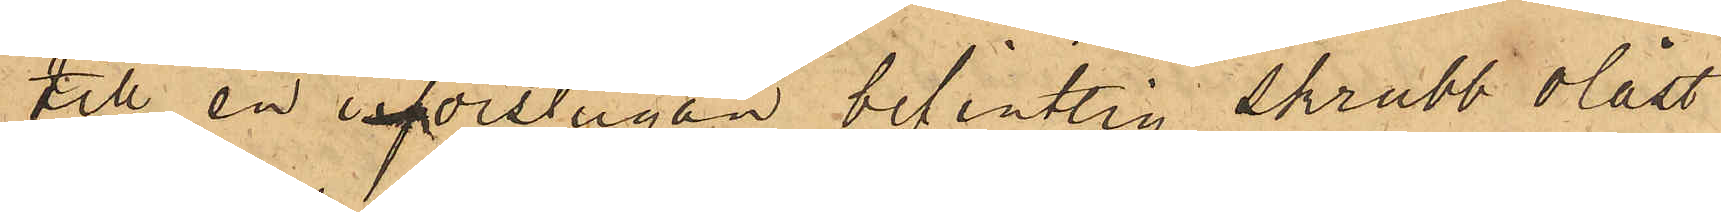till en i förstugan befintlig skrubb olåst
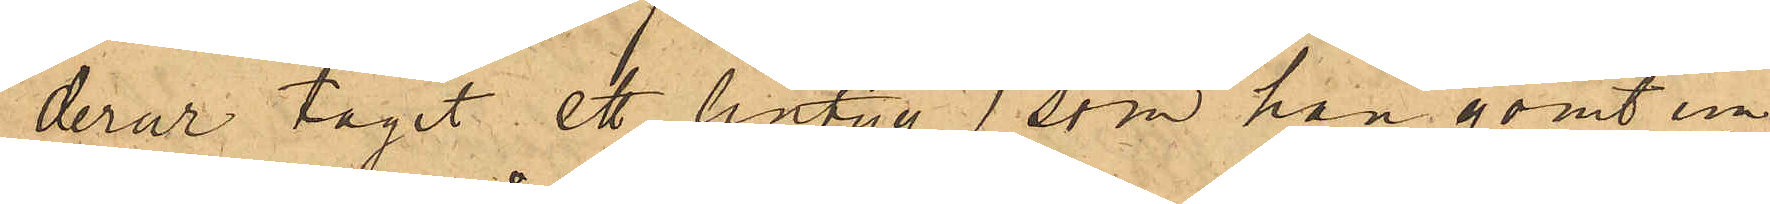derur tagit ett lintyg, som han gömt un¬
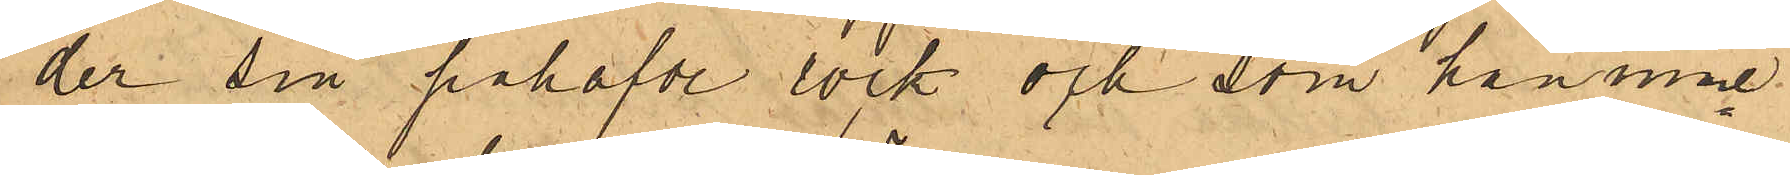der sin påhafde rock och som han inne¬
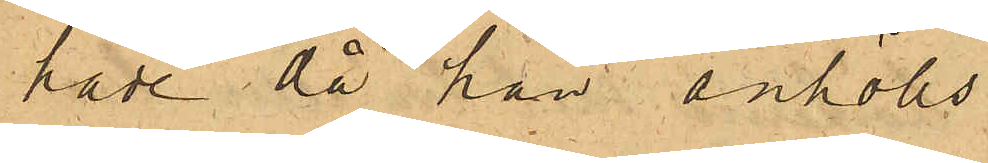hade då han anhölls.
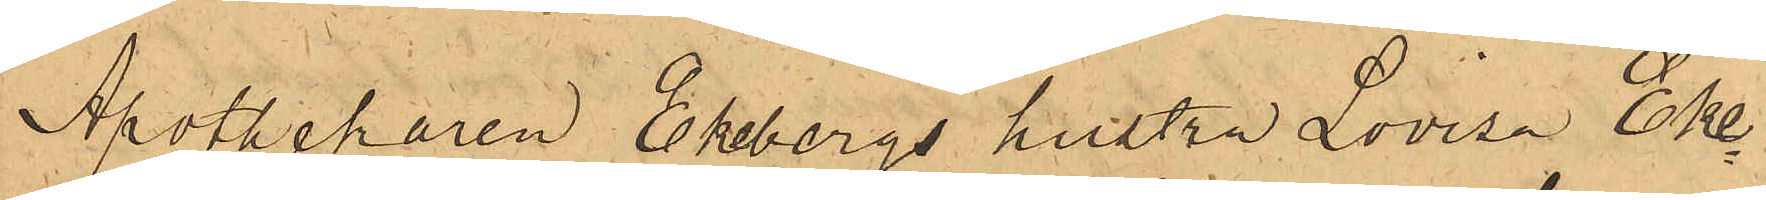Apothekaren Ekebergs hustru Lovisa Eke¬
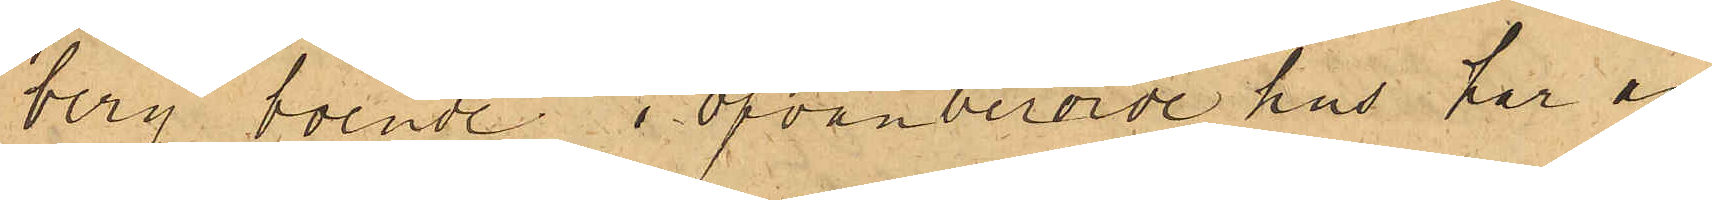berg boende i ofvanberörde hus har an¬
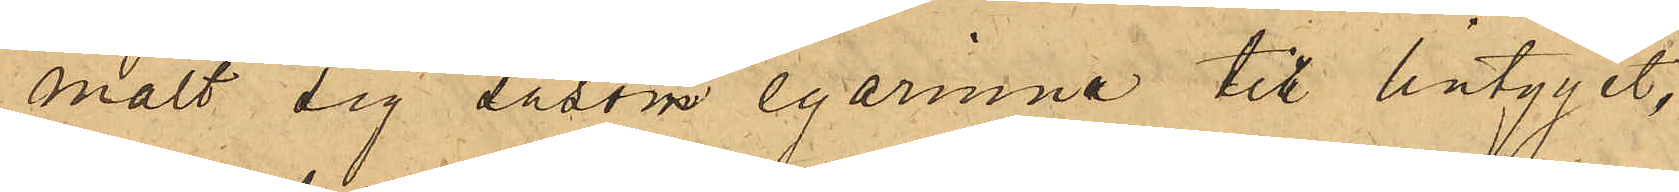mält sig såsom egarinna till lintyget,
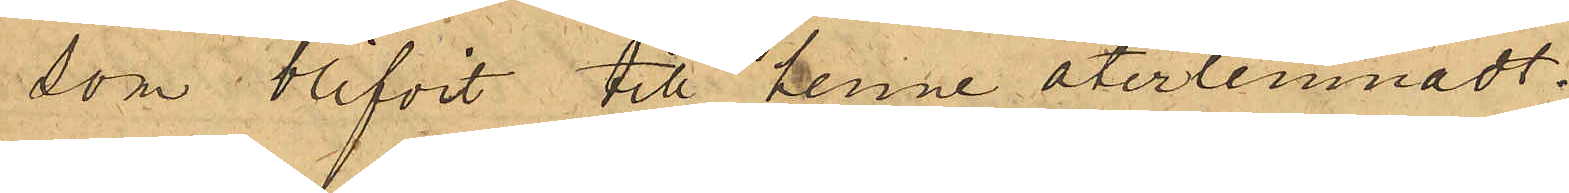som blifvit till henne återlemnadt.
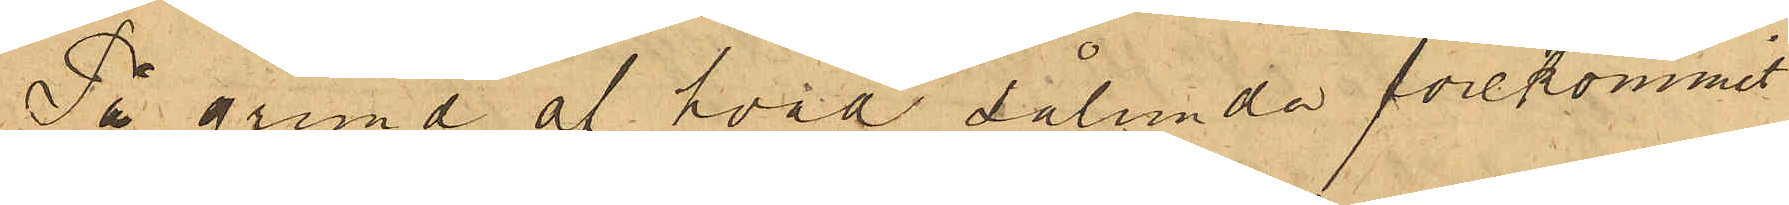På grund af hvad sålunda förekommit
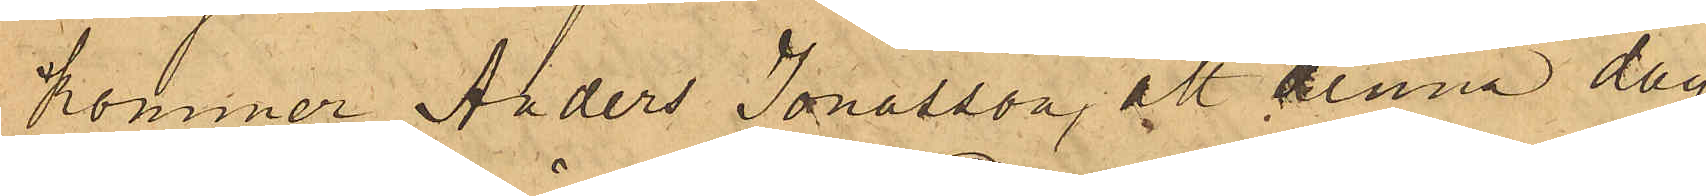kommer Anders Jonasson, att denna dag
